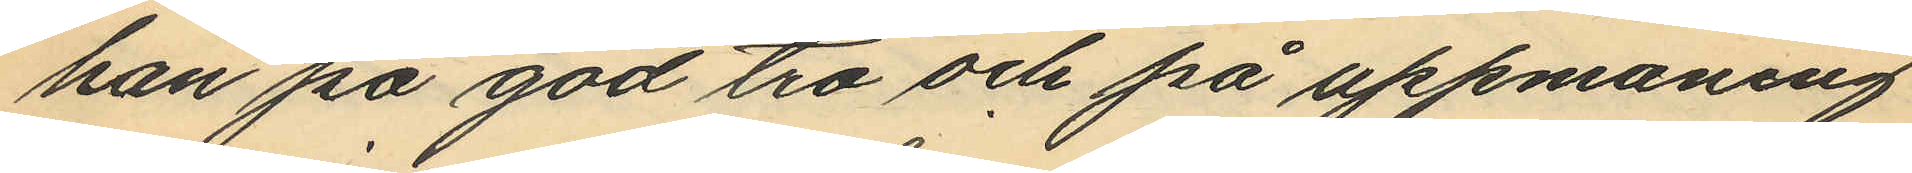han på god tro och på uppmaning
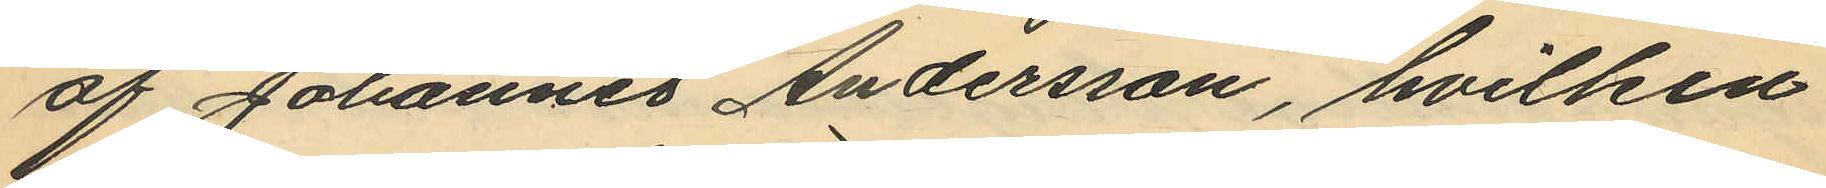af Johannes Andersson, hvilken
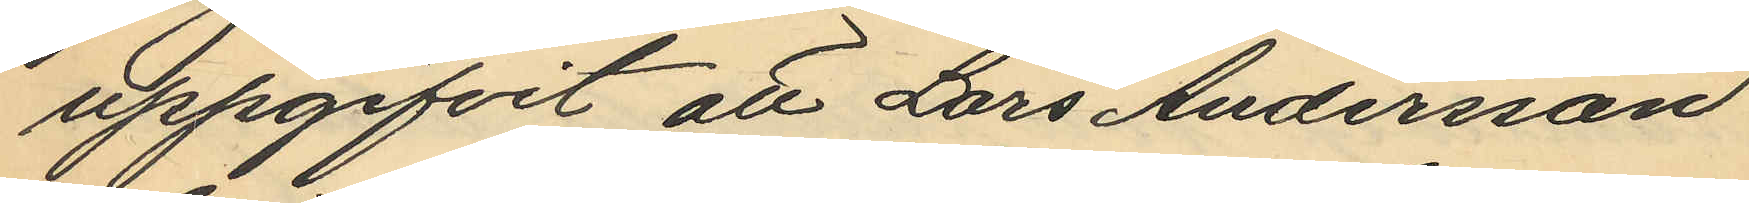uppgifvit att Lars Andersson
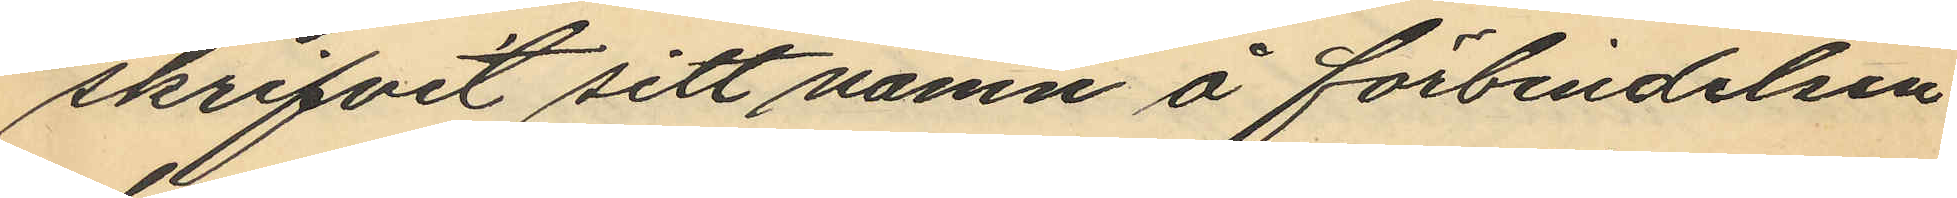skrifvit sitt namn å förbindelsen
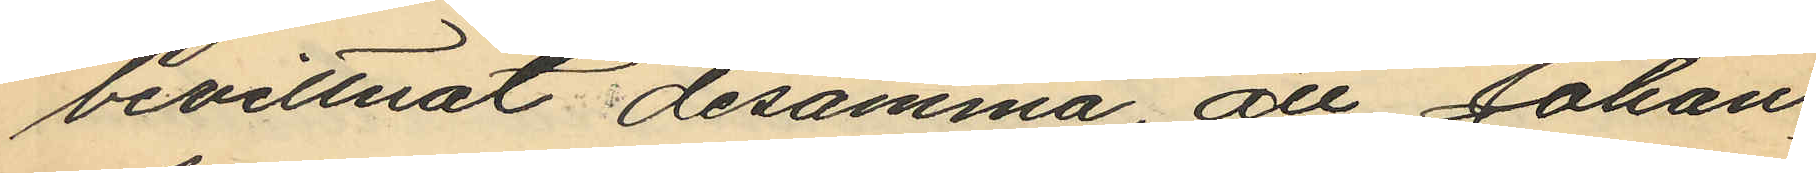bevittnat desamma, att Johan
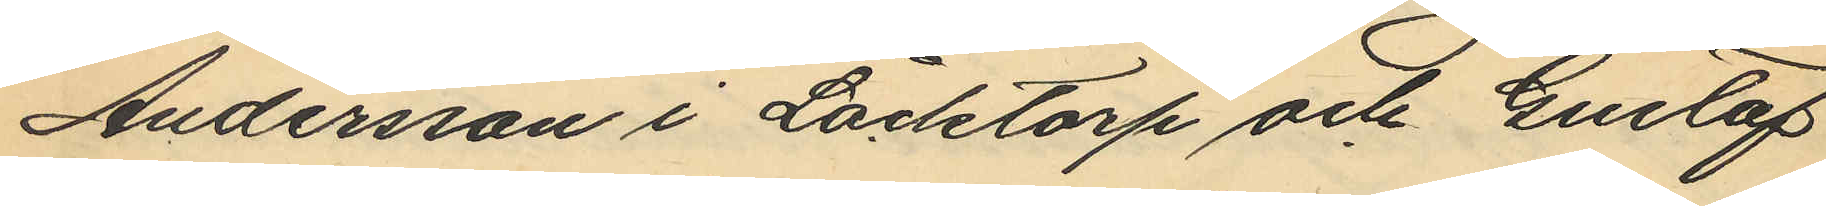Andersson i Låcktorp och Gustaf
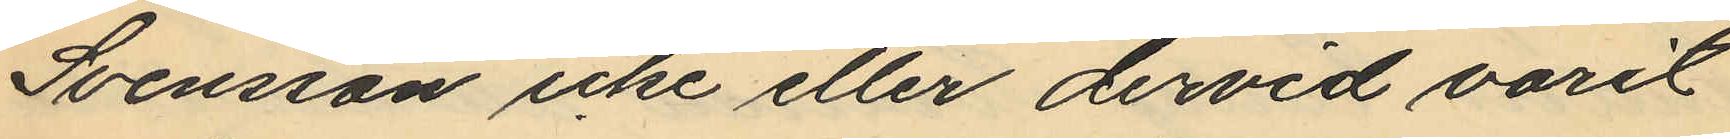Svensson icke eller dervid varit
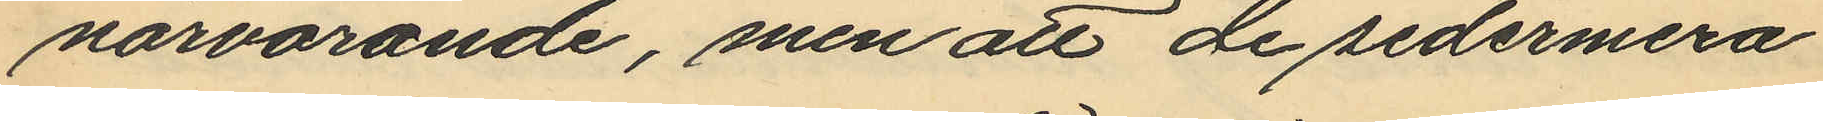närvarande, men att de sedermera
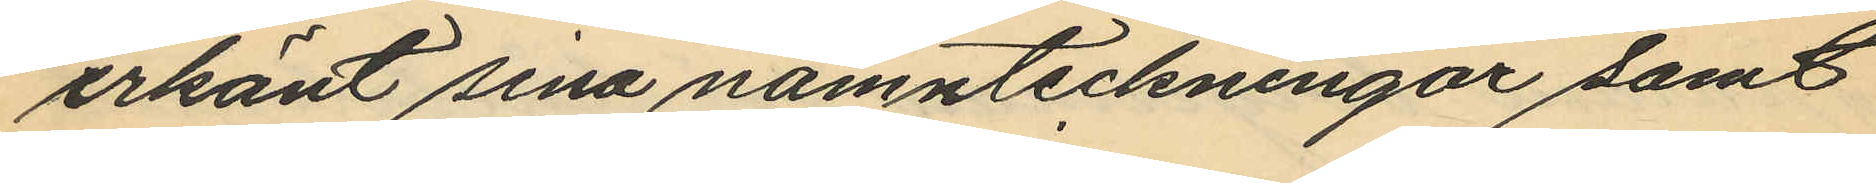erkänt sina namnteckningar samt
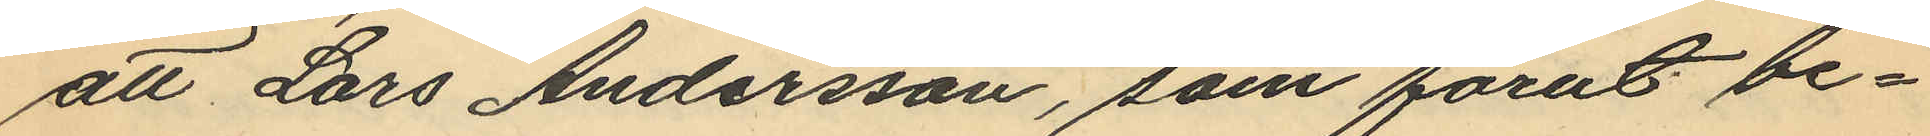att Lars Andersson, som förut be¬
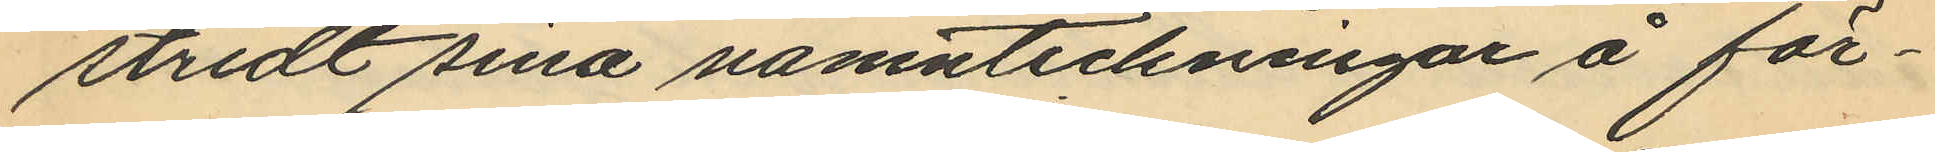stridt sina namnteckningar å för¬
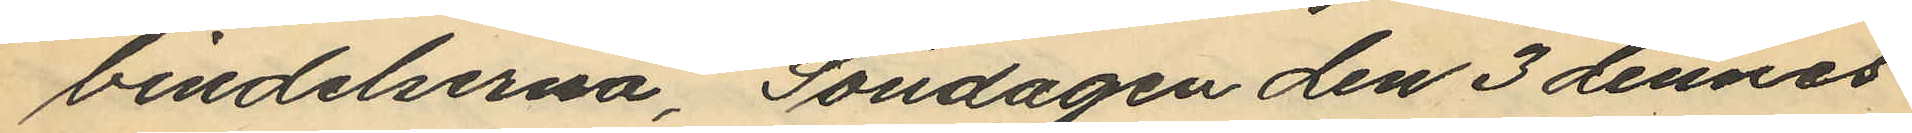vindelserna, Söndagen den 3 dennes
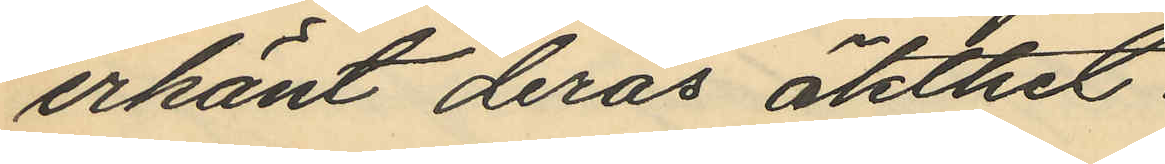erkänt deras äkthet.
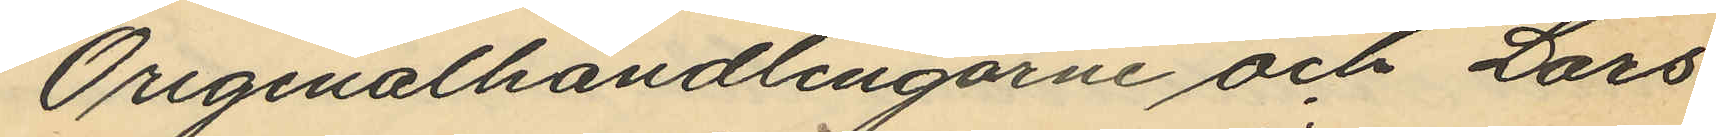Originalhandlingarne och Lars
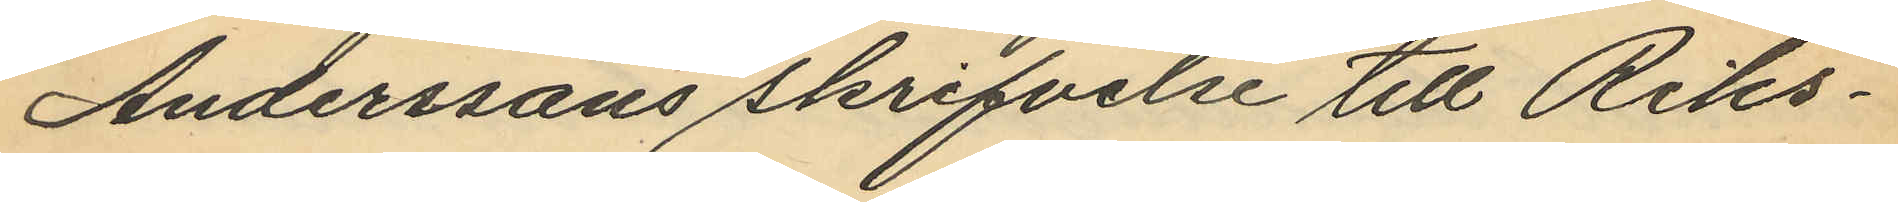Anderssons skrifvelse till Riks¬
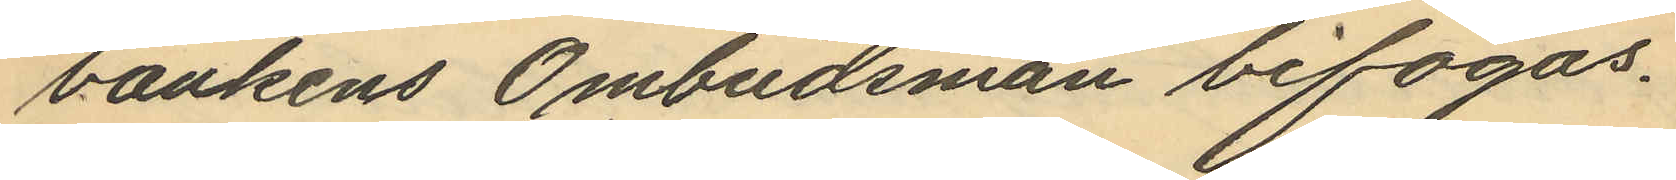bankens Ombudsman bifogas.
